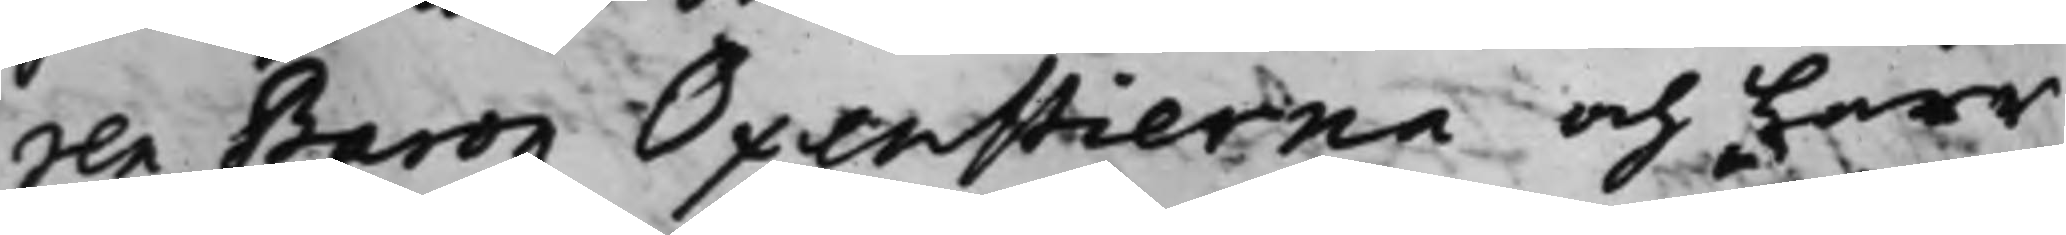ren Baron Oxenstierna och Herr
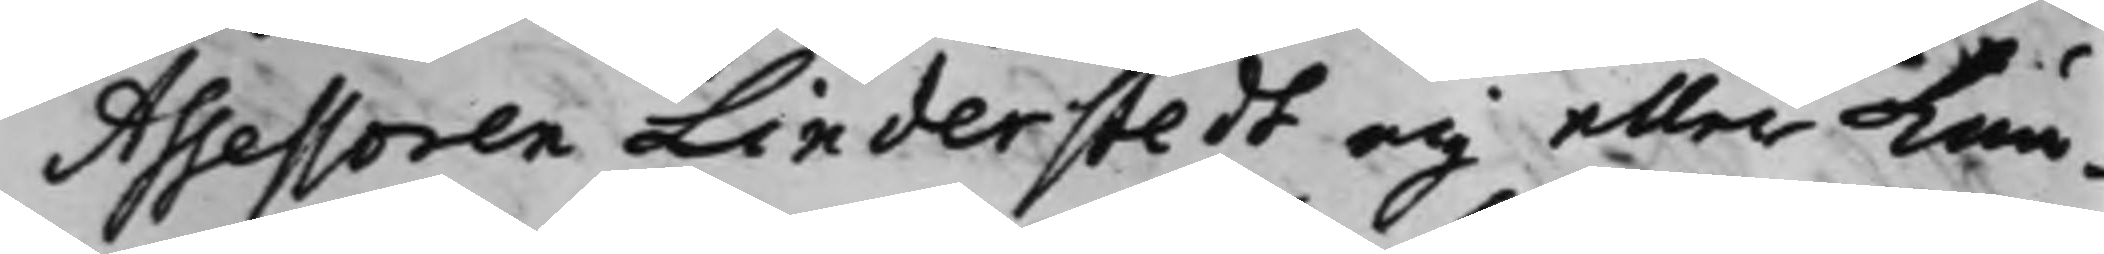Assessoren Linderstedt eij eller kun¬
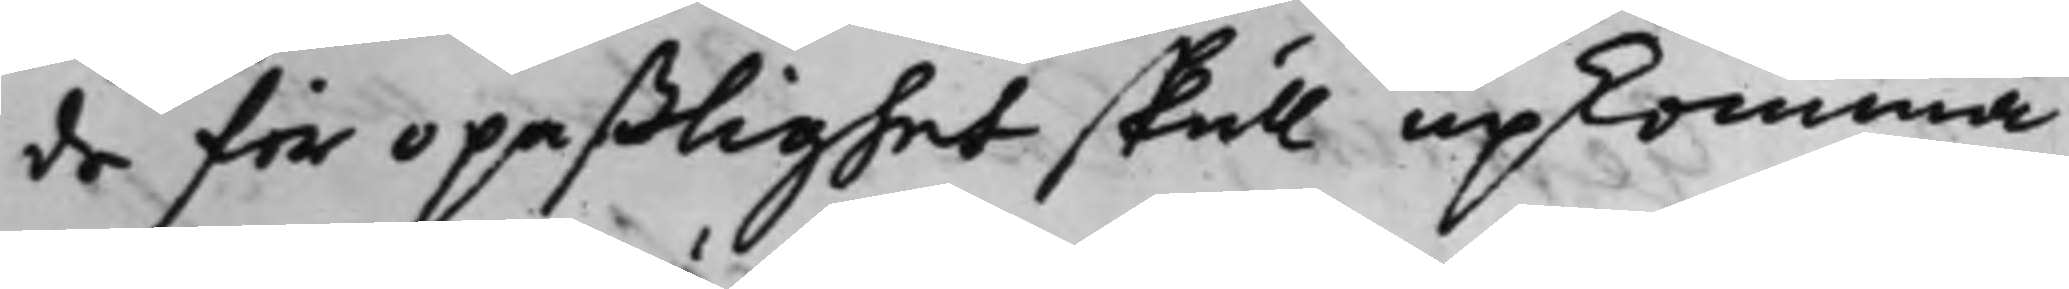de för opaßlighet skull upkomma.
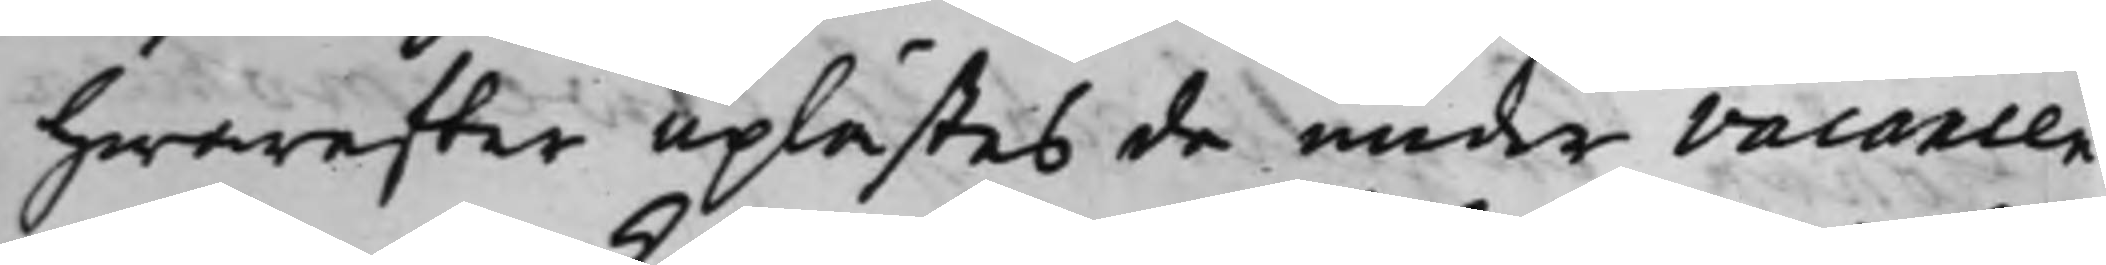Hwareffter uplästes de under vacancen
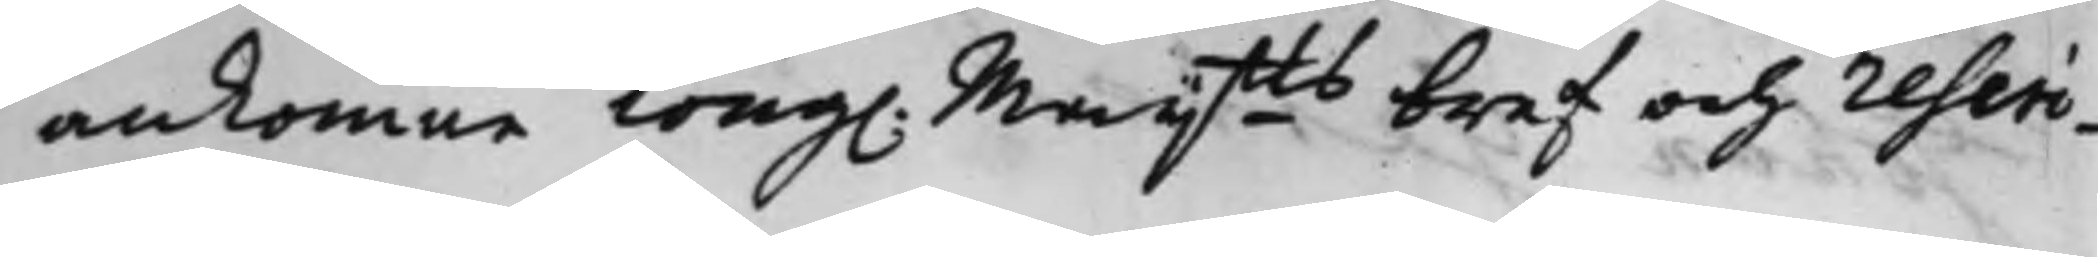ankomne Kong. Maijtts bref och rescri¬
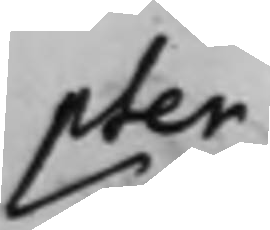pter.
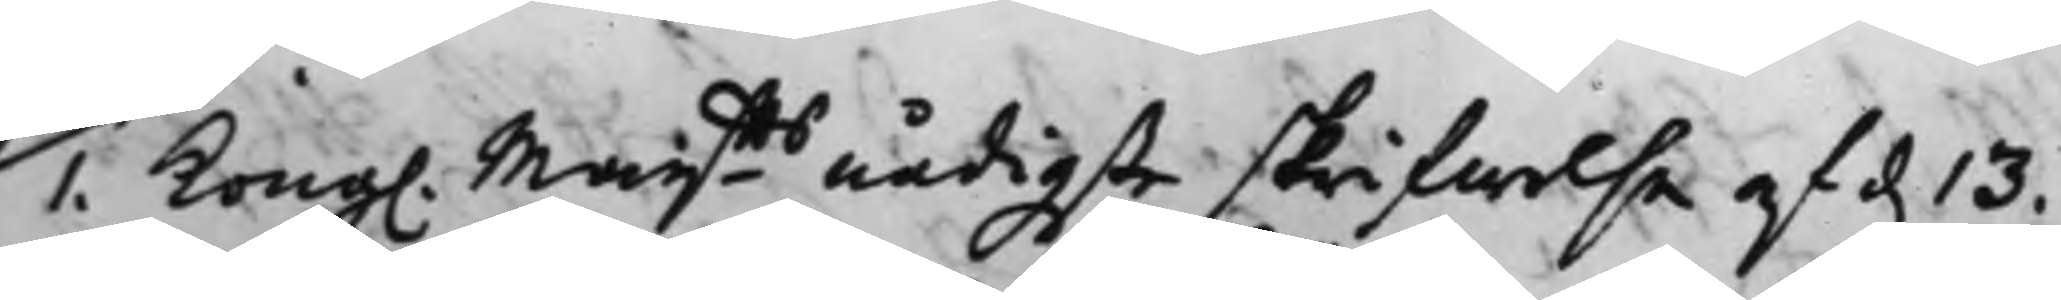1. Kong. Maijtts nådigste skrifwelse af d. 13.
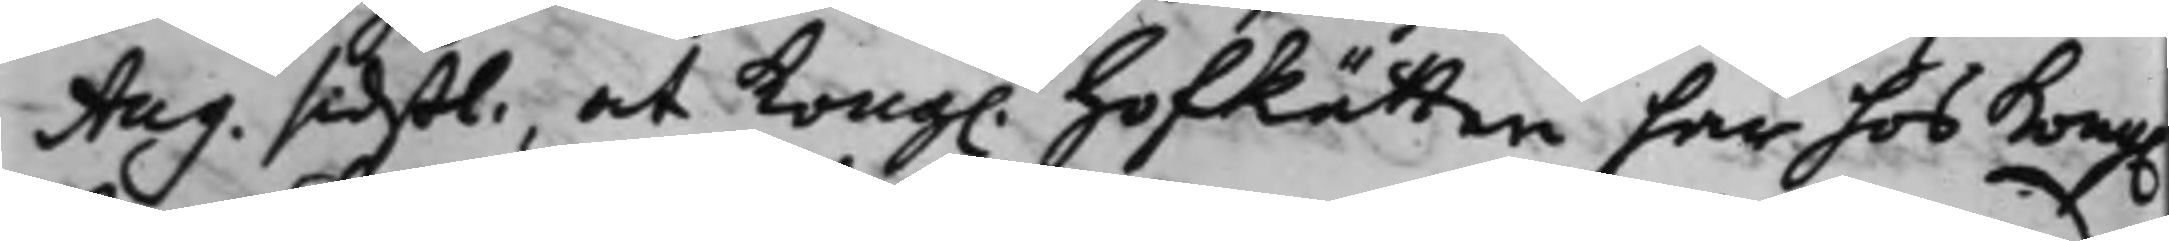Aug. sidstl. at Kong. HofRätten har hos Kong.
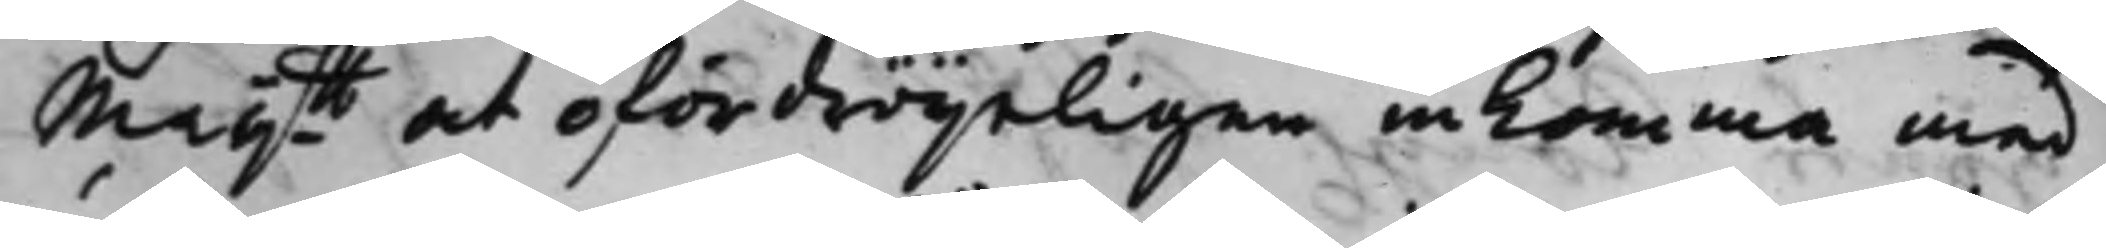Maijtt at ofördröijeligen inkomma med
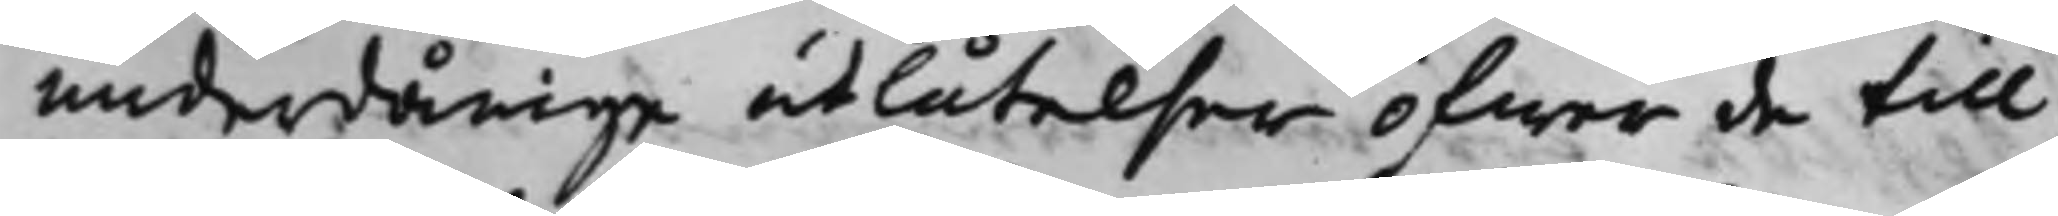underdånige utlåtelser öfwer de till
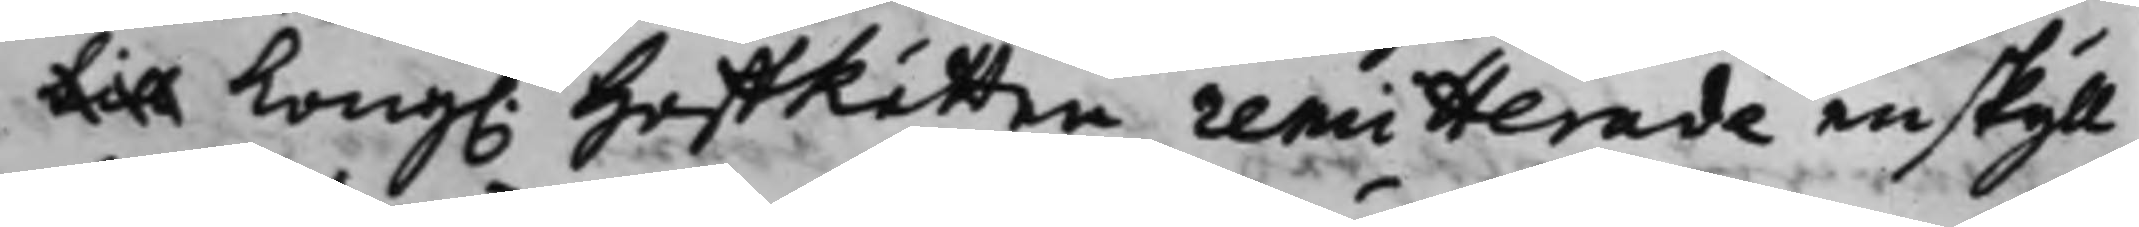till Kong. HoffRätten remitterade enskijll¬
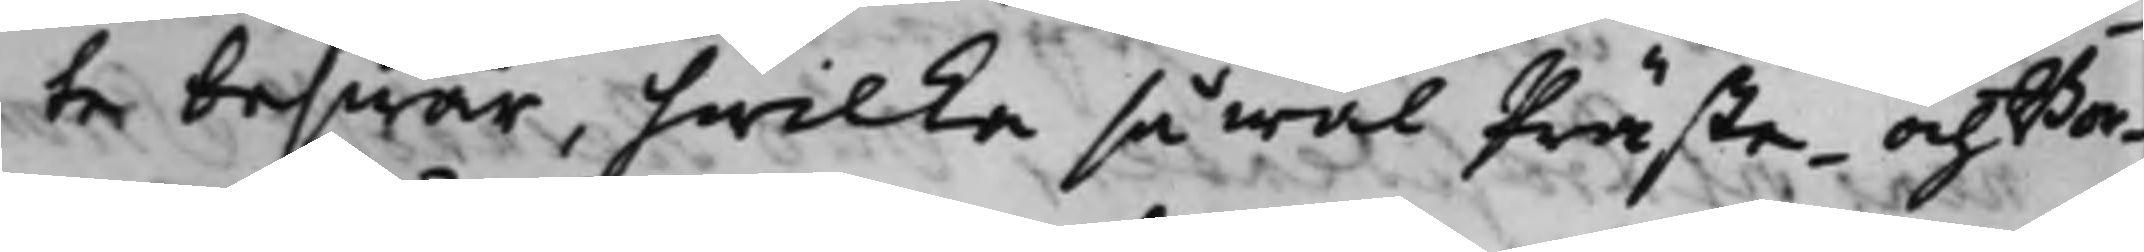te beswär, hwilka så wäl Präste- och Bor¬
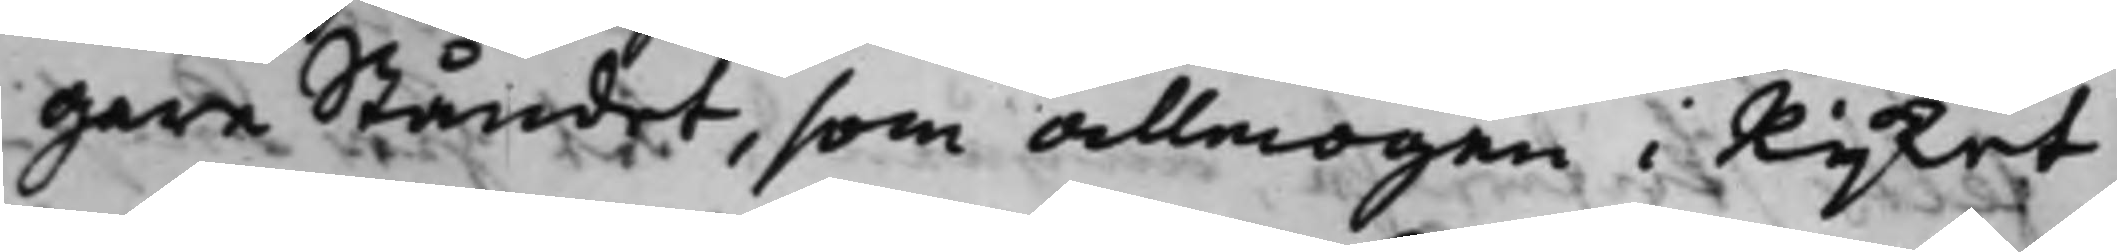gare Ståndet, som allmogen i Rijket
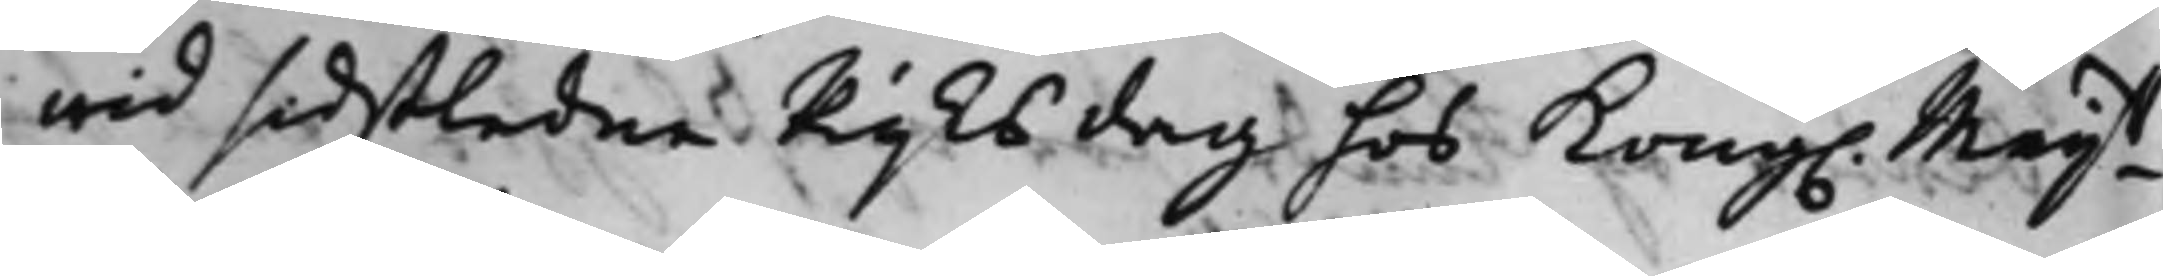wid sidstledne Rijksdag hos Kong. Maijtt
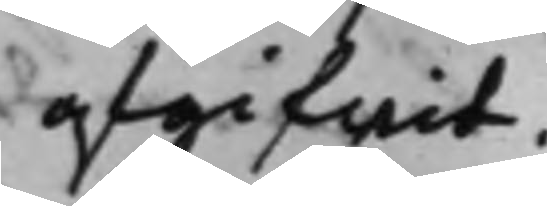afgifwit.
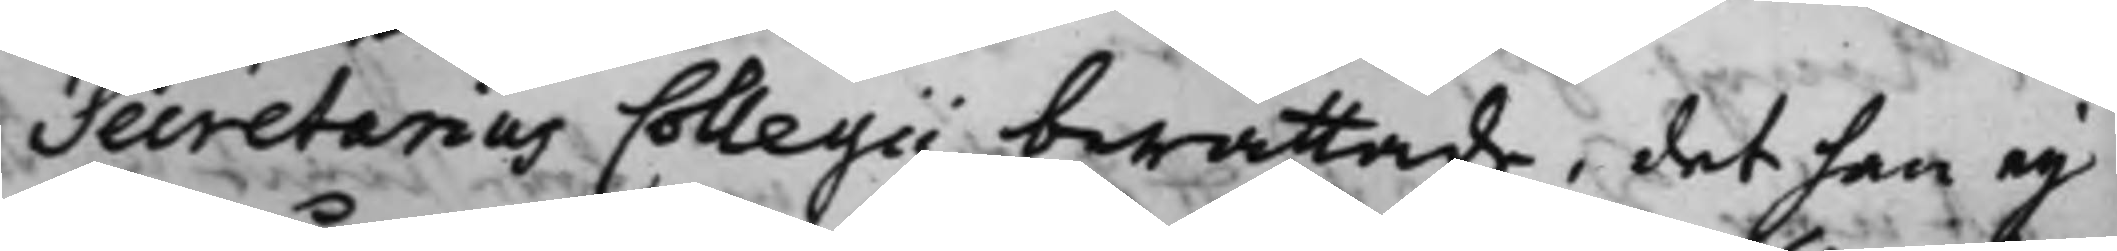Secretarius Collegii berättade, det han eij
